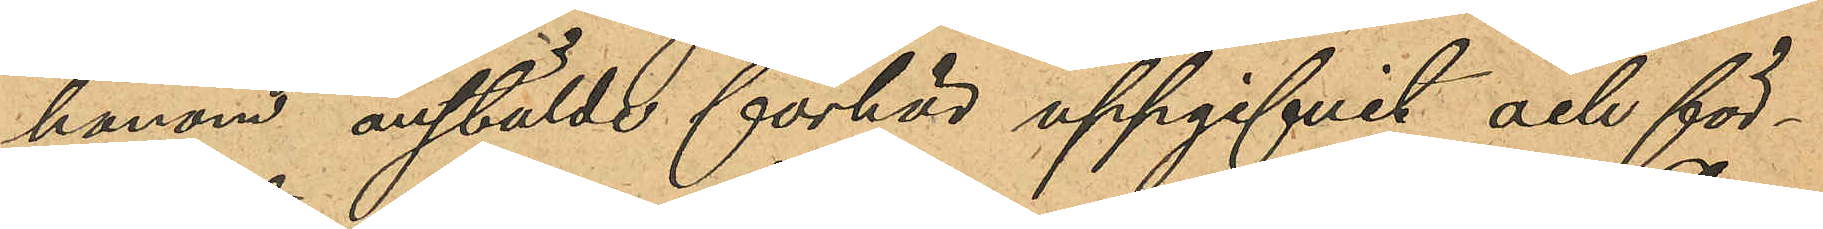honom anstälde förhör uppgifvit och för¬
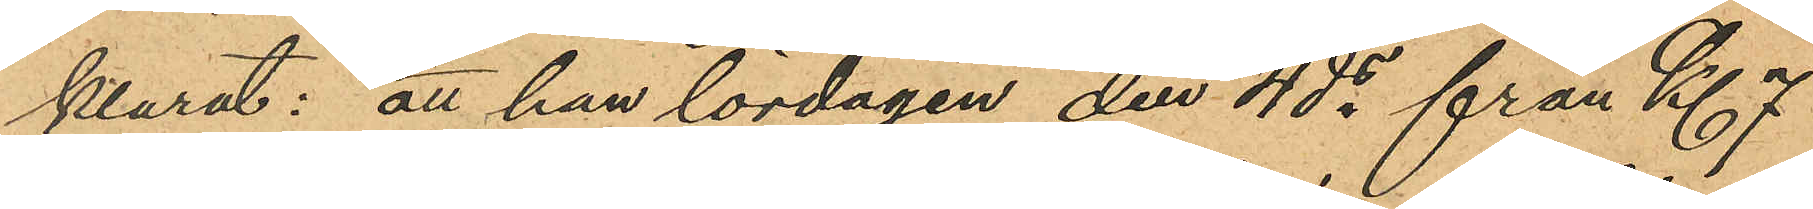klarat: att han lördagen den 4 ds från Kl 7
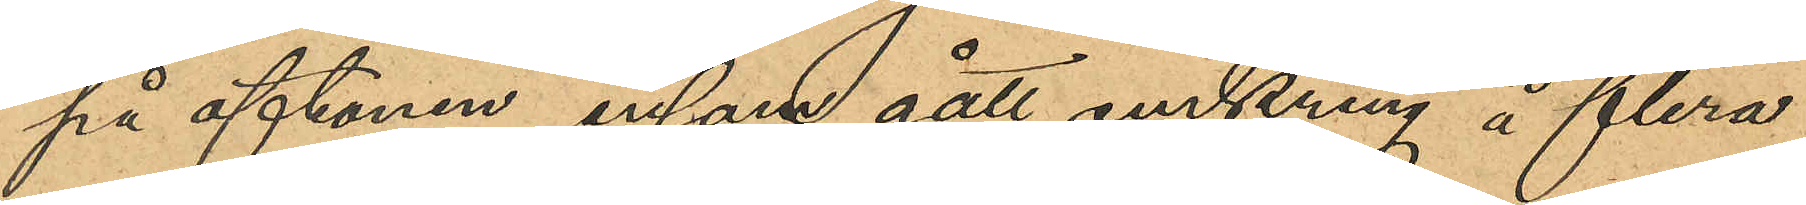på aftonen ensam gått omkring å flera
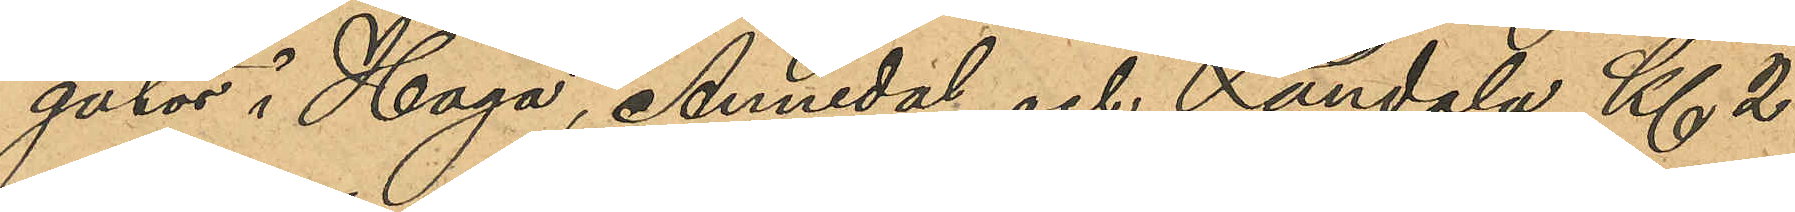gator i Haga, Annedal och Landala Kl 2
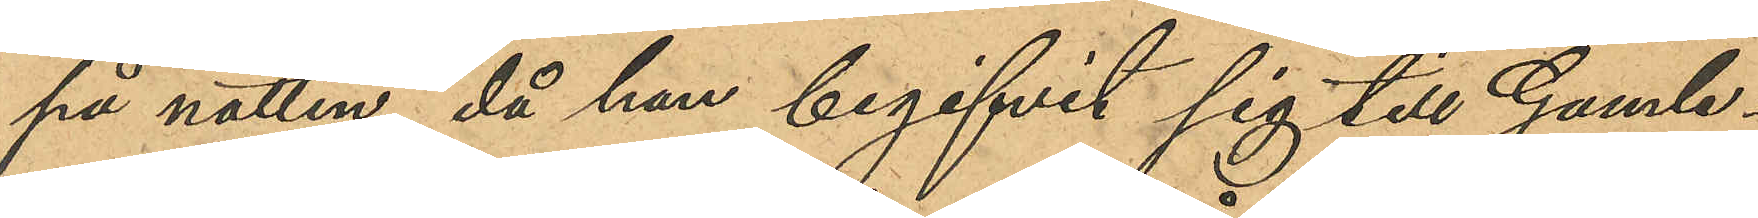på natten, då han begifvit sig till Gamle¬
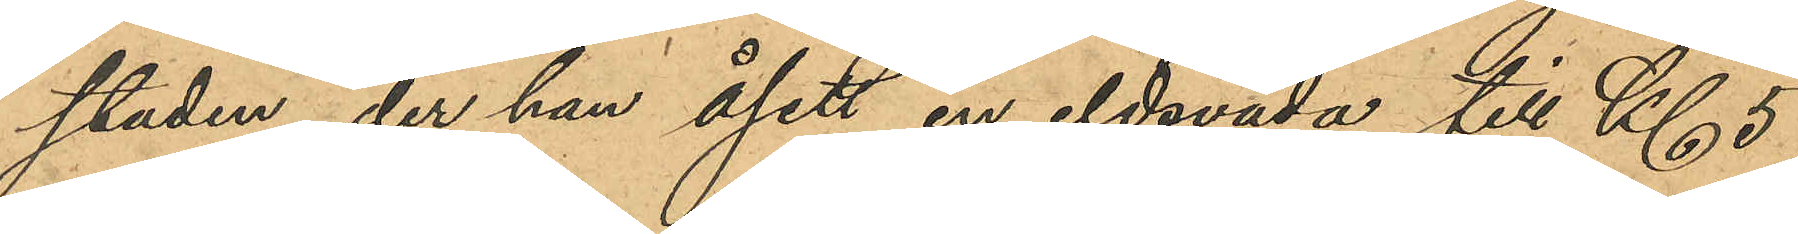staden, der han åsett en eldsvåda till Kl 5
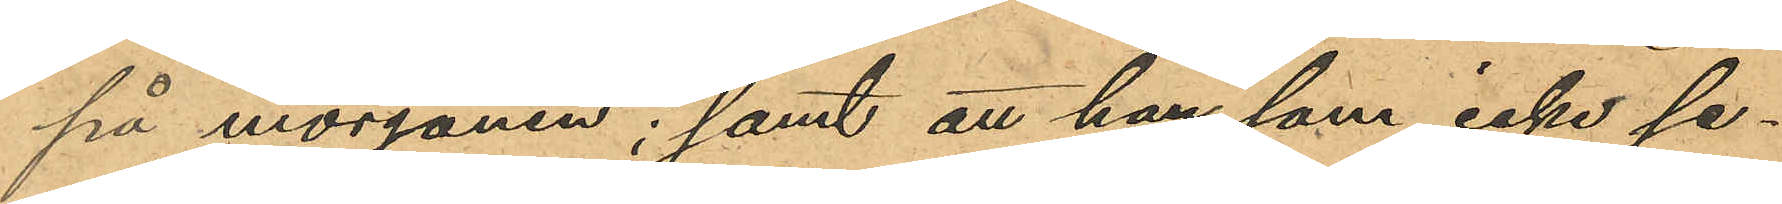på morgonen; samt att han som icke se¬
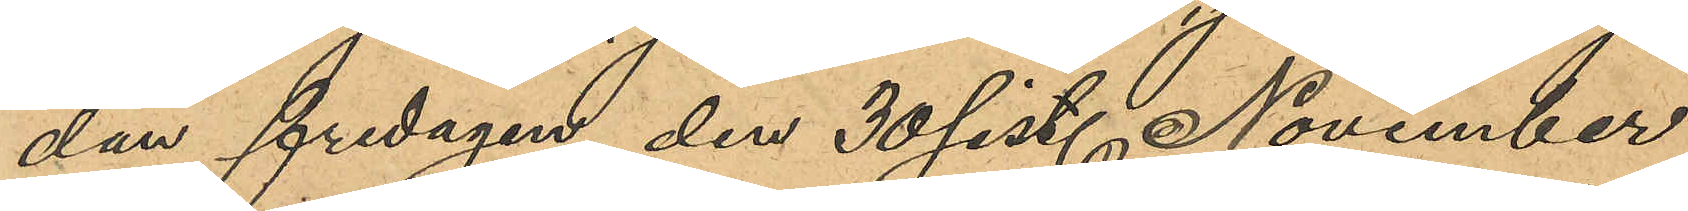dan fredagen den 30 sist. November
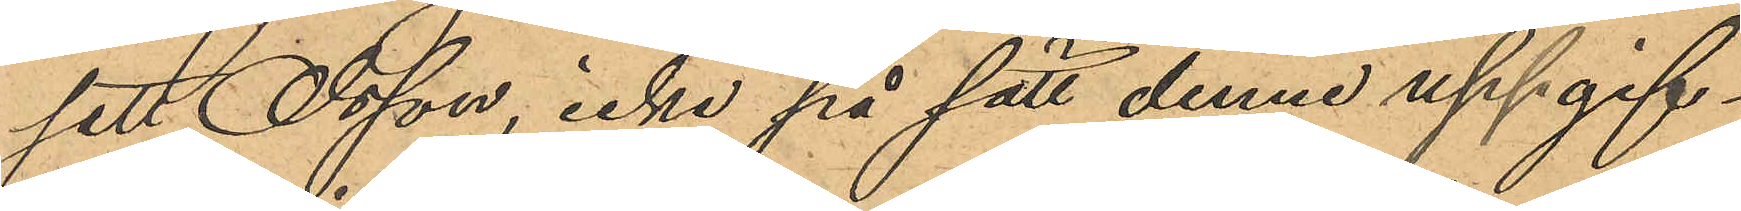sett Olsson, icke på sätt denne uppgif¬
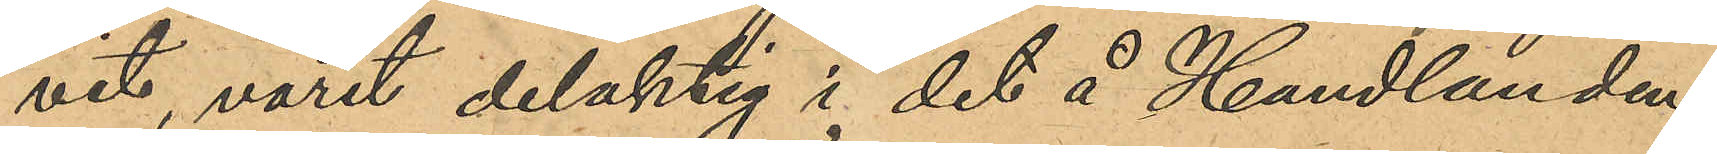vit, varit delaktig i det å Handlanden
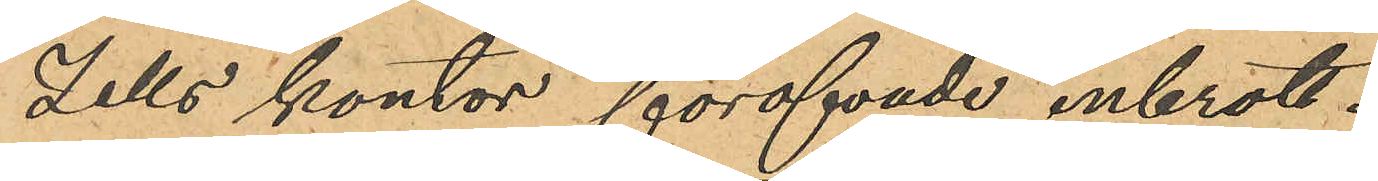Zells kontor föröfvade inbrott.
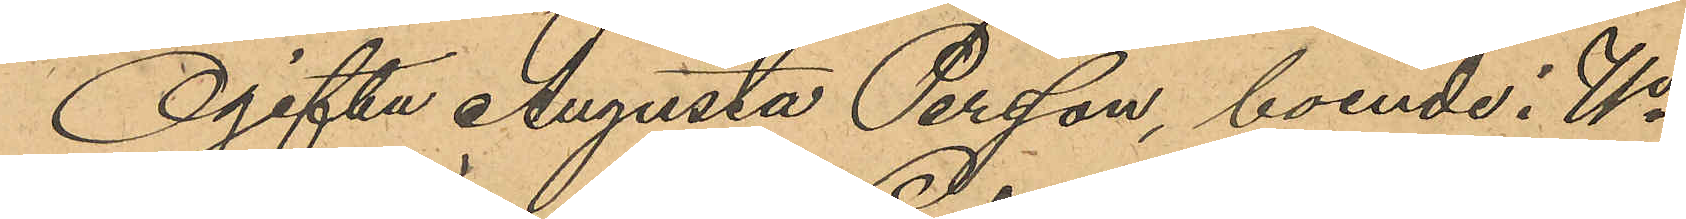Ogifta Augusta Persson, boende i No
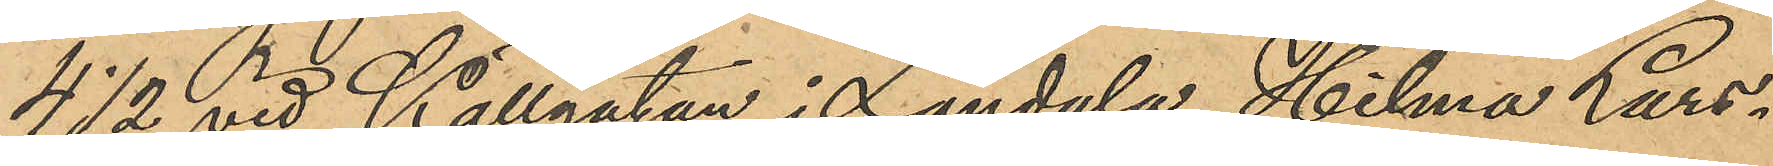4 ½ vid Källgatan i Landala, Hilma Lars¬
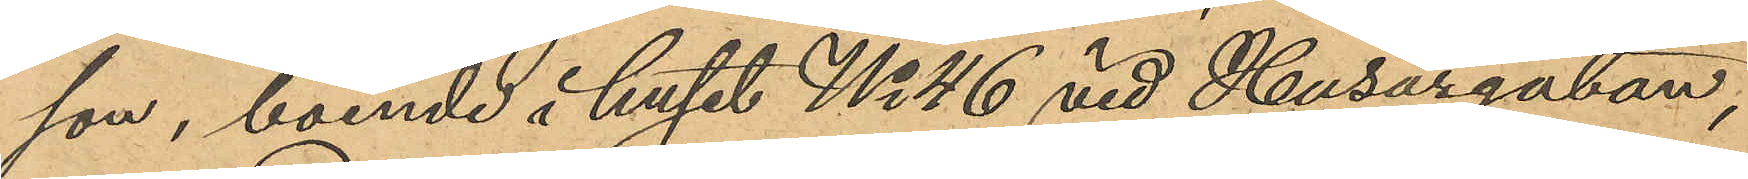son, boende i huset No 46 vid Husargatan,
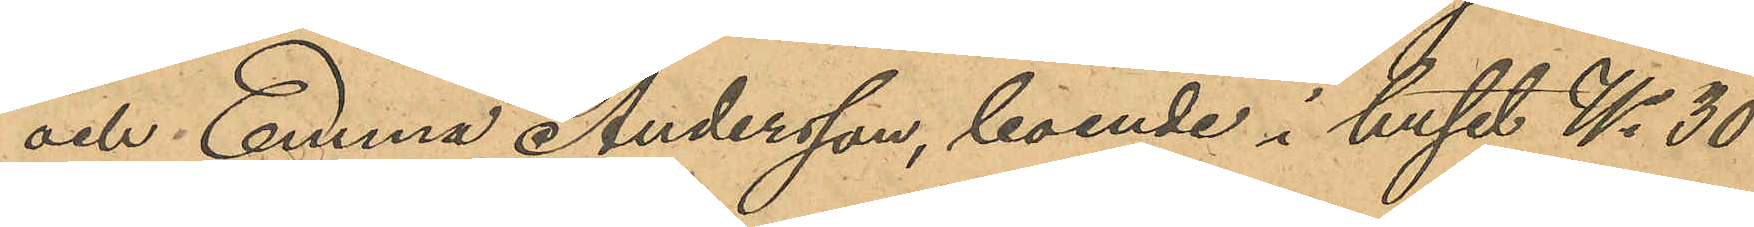och Emma Andersson, boende i huset No 30
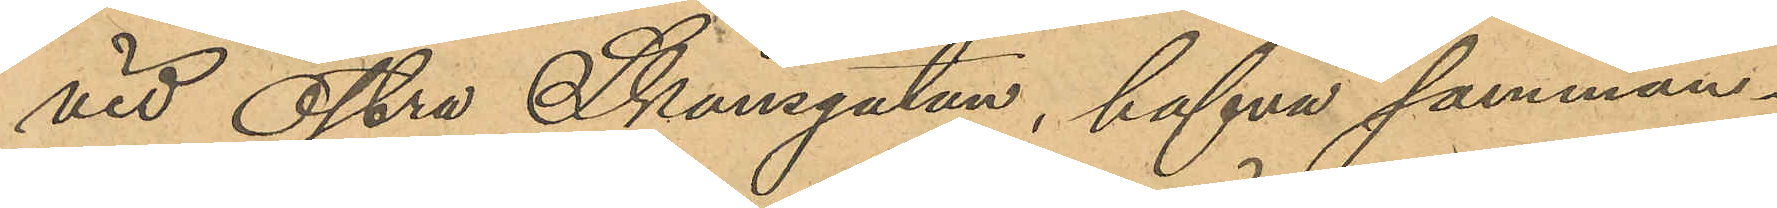vid Östra Skansgatan, hafva samman¬
